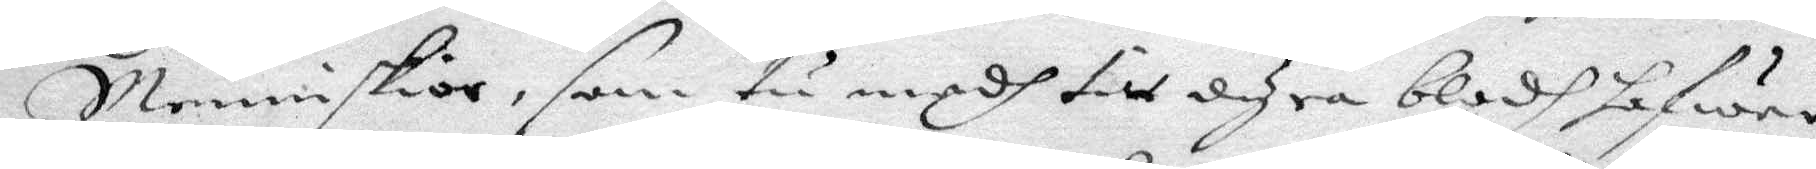Menniskior, som tu medh tin dyra Blodh hafwer
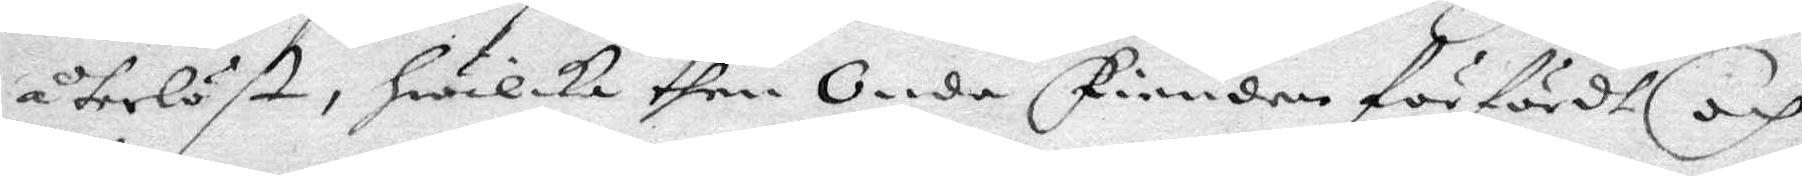återlöst, Hwilka then Onda Fienden förfördt och
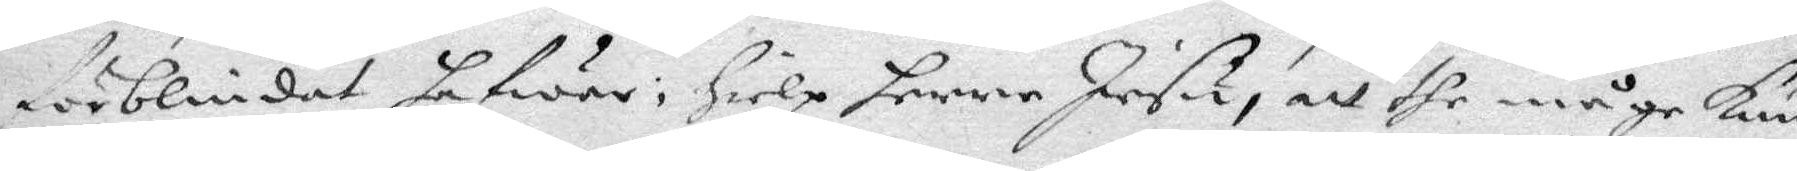förblindat hafwer, Hielp henne Jesu, att the måge Kun¬
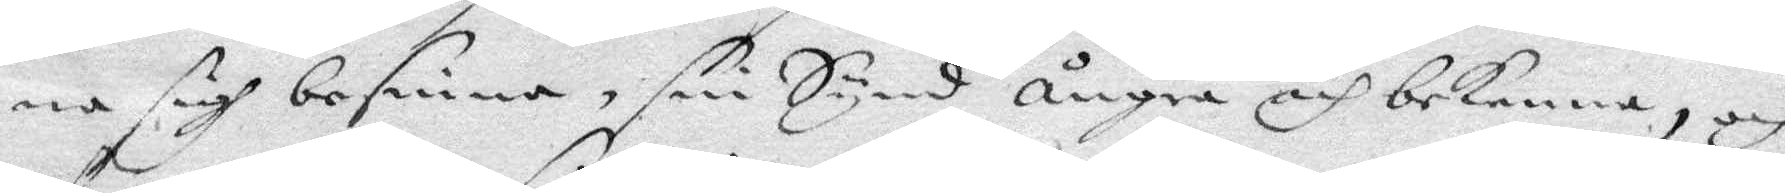na sigh besinna, sin Synd ångra och bekenna, och
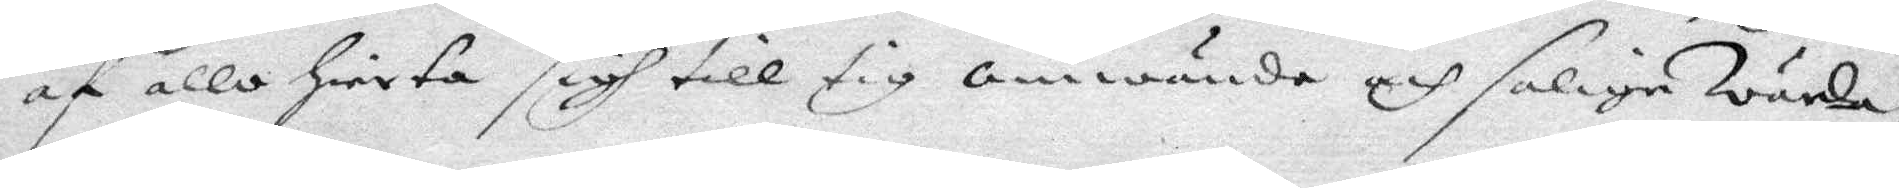af allo Hierta sigh till tig omvända och saliga Warda;
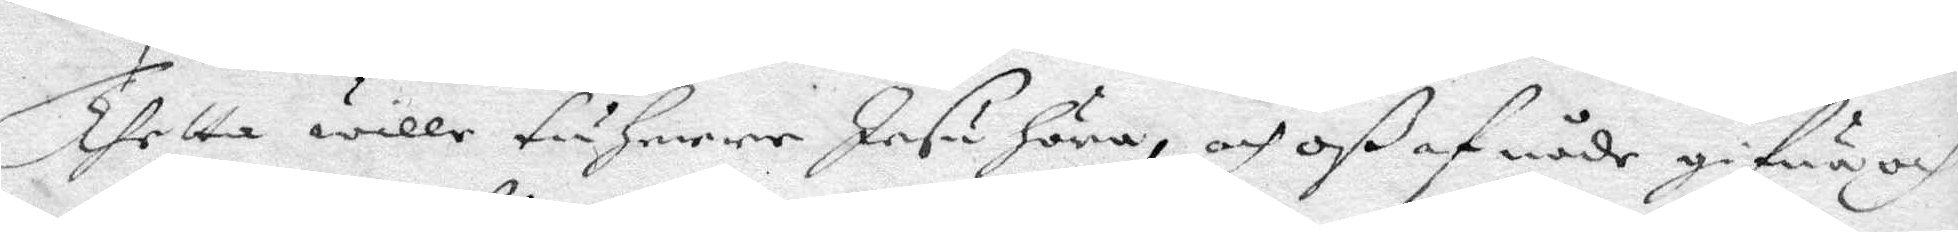Thetta wille tu Herre Jesu höra, och Oß af nåde gifwa och
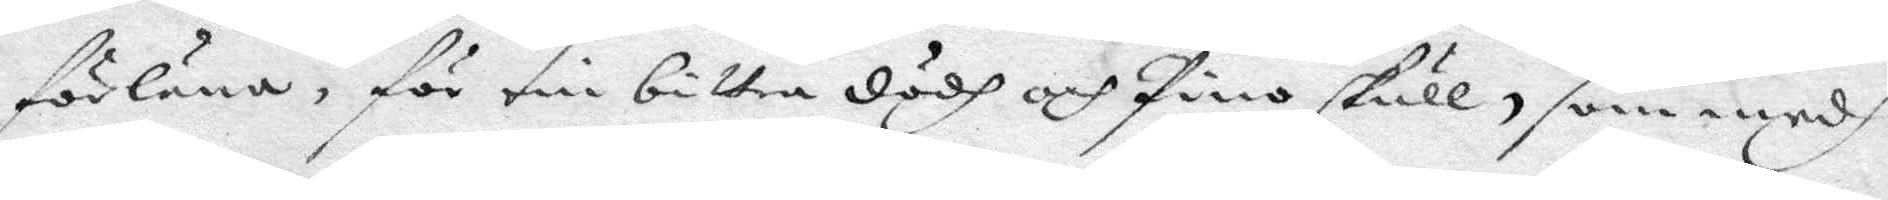förläna, för tin bittra dödh och pino skull, som medh
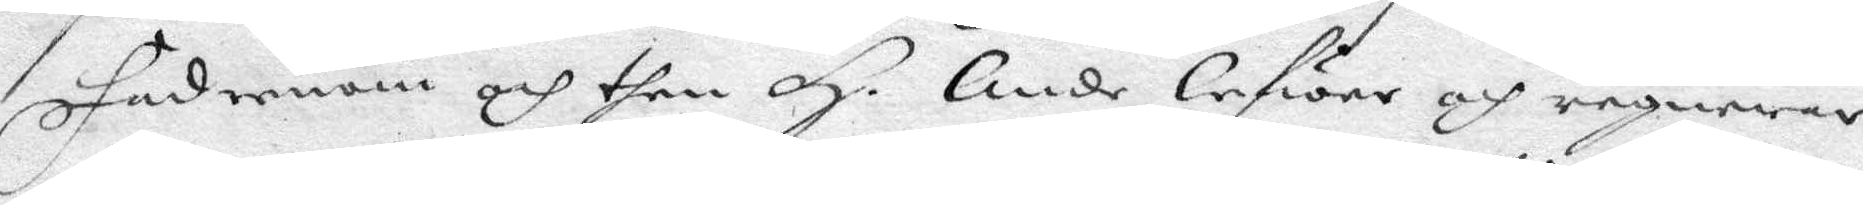Fädernom och then H. Ande lefwer och regnerar
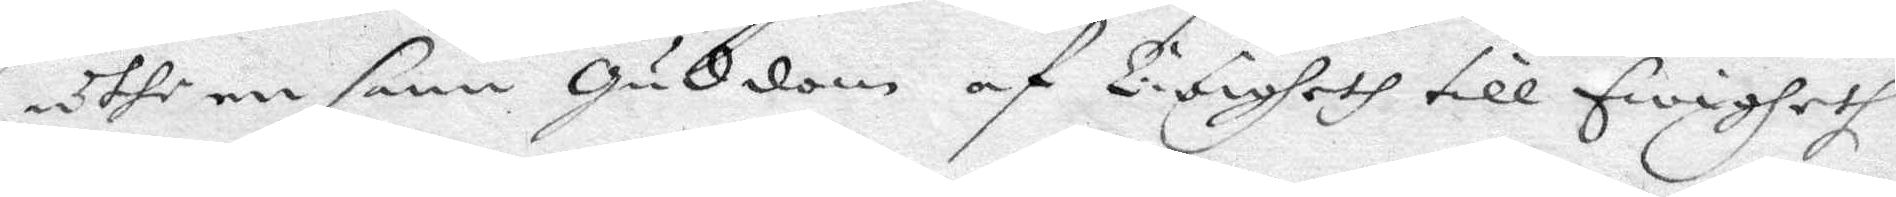uthe en sann Guddom af Ewigheth till Ewigheth:
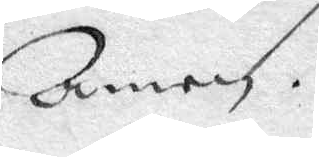Amen.
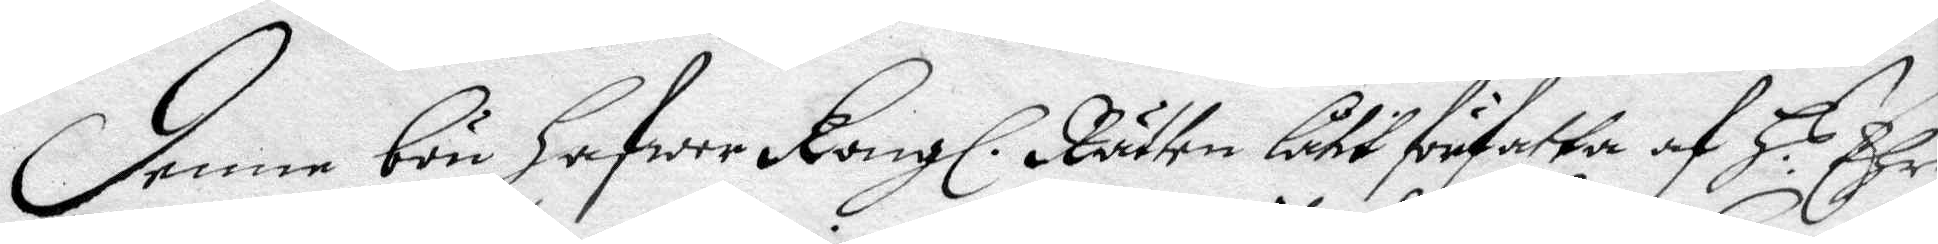Denne bön hafwer Kongl. Rätten låtit författa af H r Ehr¬
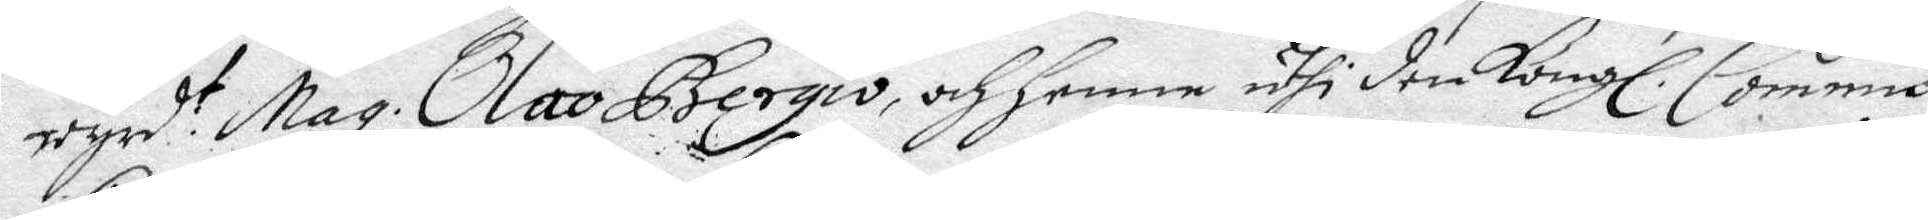wyrd t Mag: Olao Bergio, och henne uthi den Kongl: Commis¬
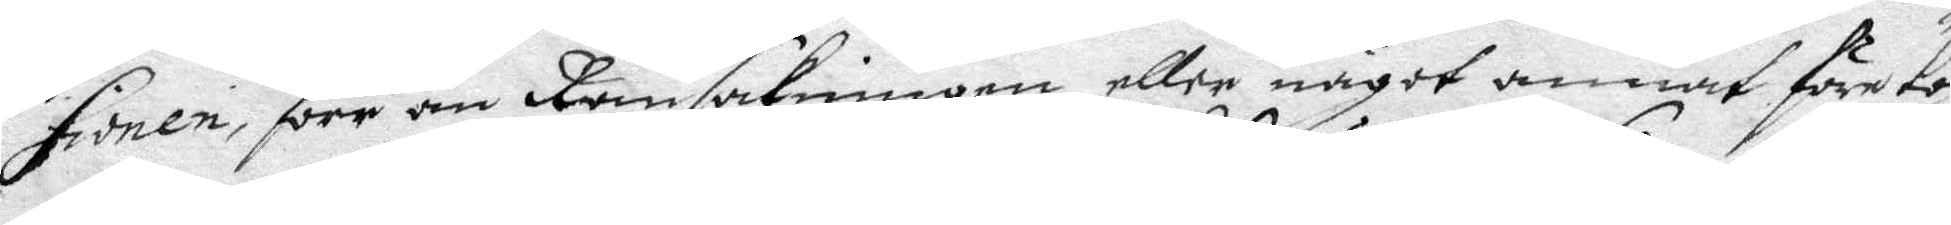sionen, förr än Ransakningen eller något annat före
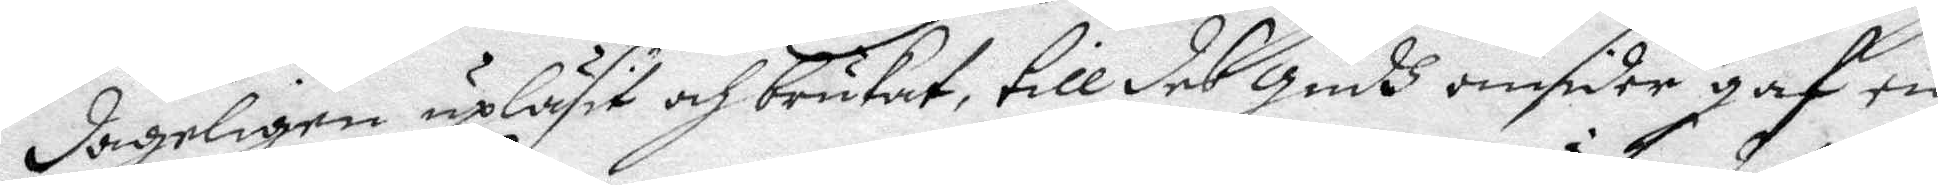dageligen upläsit och brukat, till des Gudh omsider gaf en
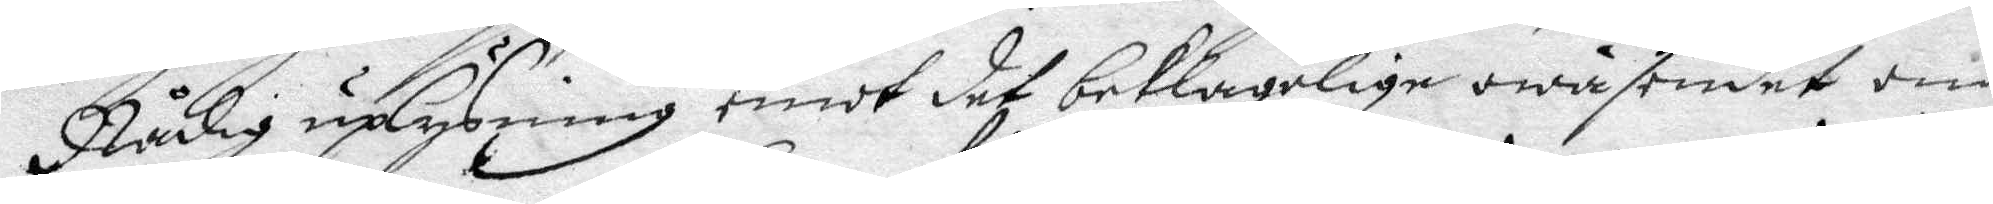Nåfig upluýsning emot det beklagelige owäsendet om
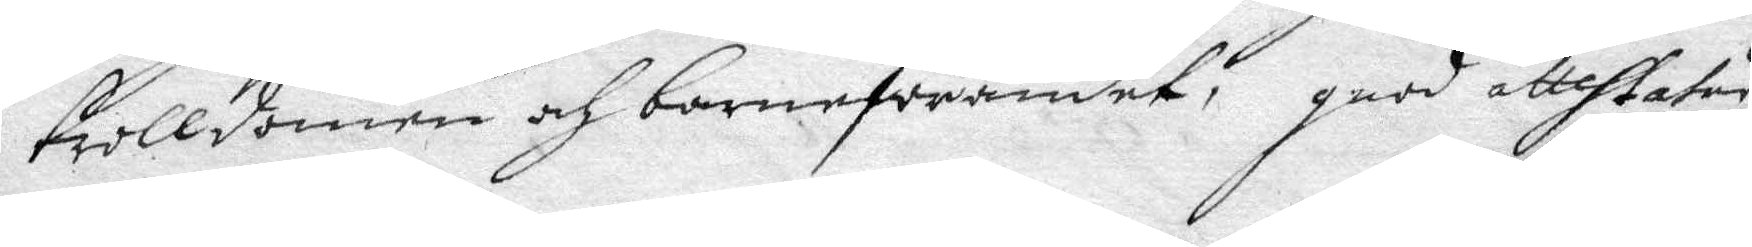trolldomen och barneförandet, good attehtatur
